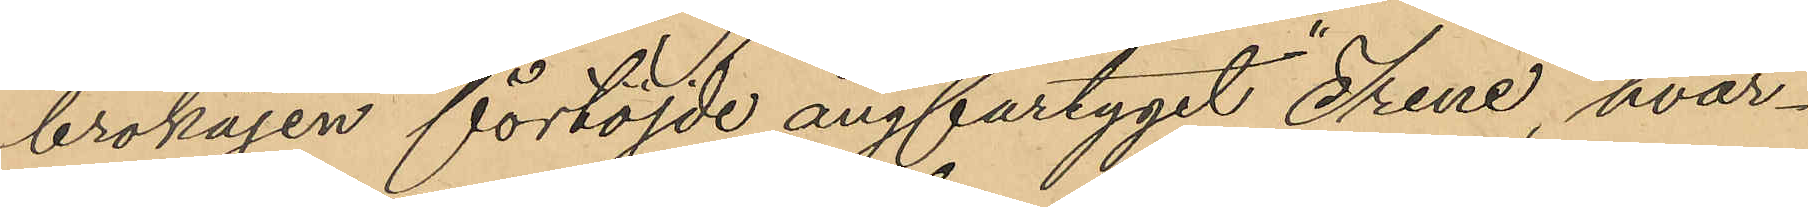brokajen förtöjde ångfartyget "Irene", hvar¬
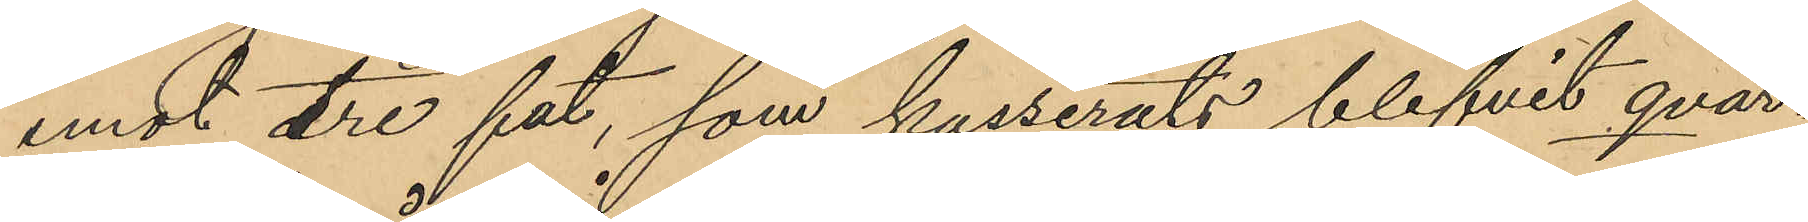emot tre fat, som kasserats blifvit qvar¬
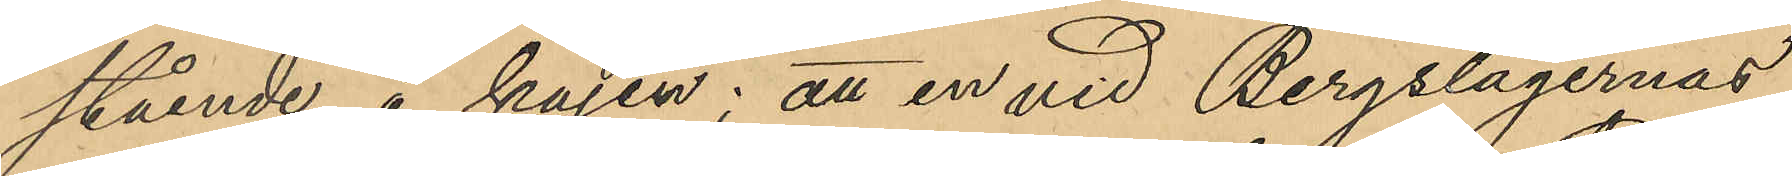stående å kajen; att en vid Bergslagernas
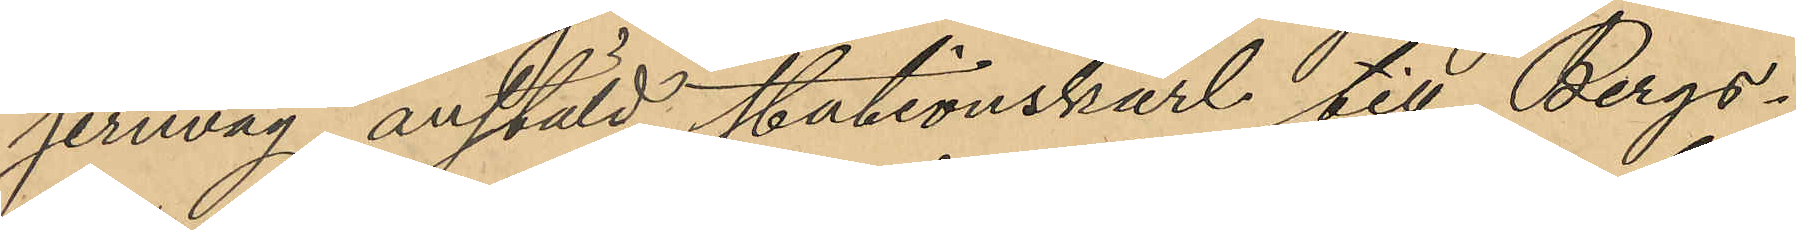jernväg anstäld stationskarl till Bergs¬
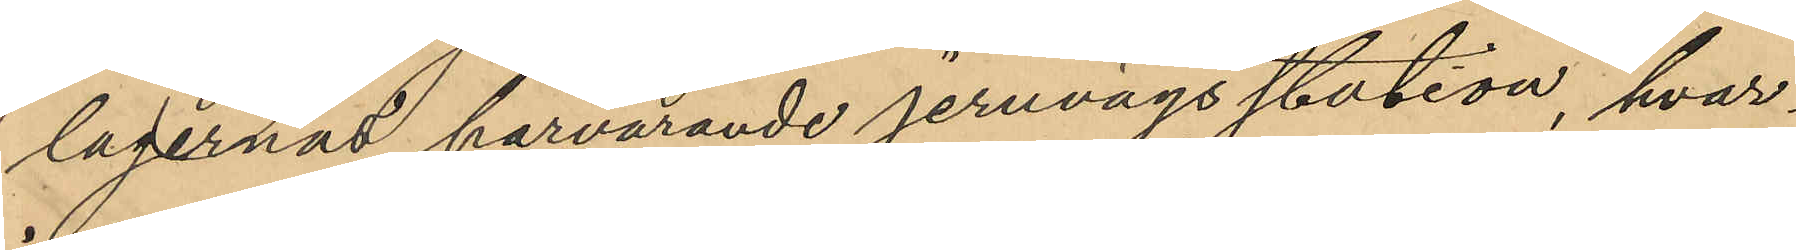lagernas härvarande jernvägs station, hvar¬
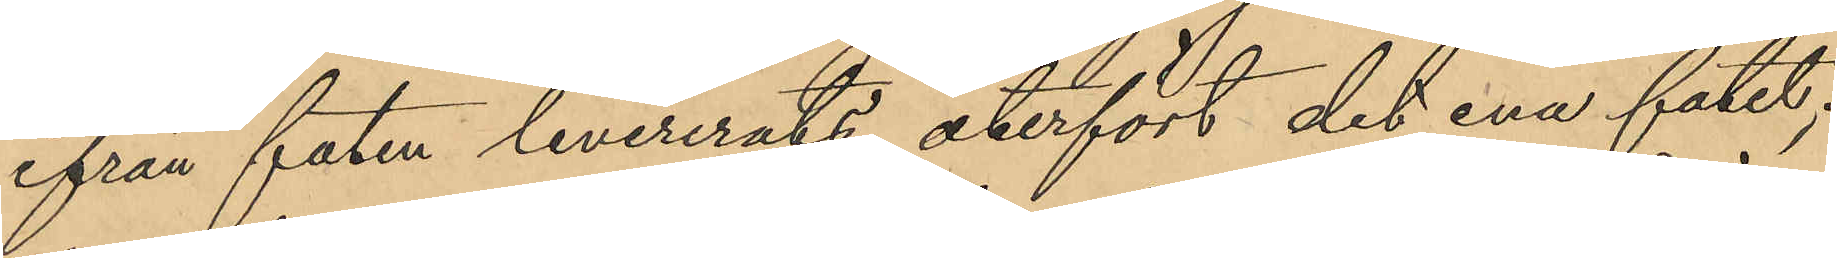ifrån faten levererats, återfört det ena fatet;
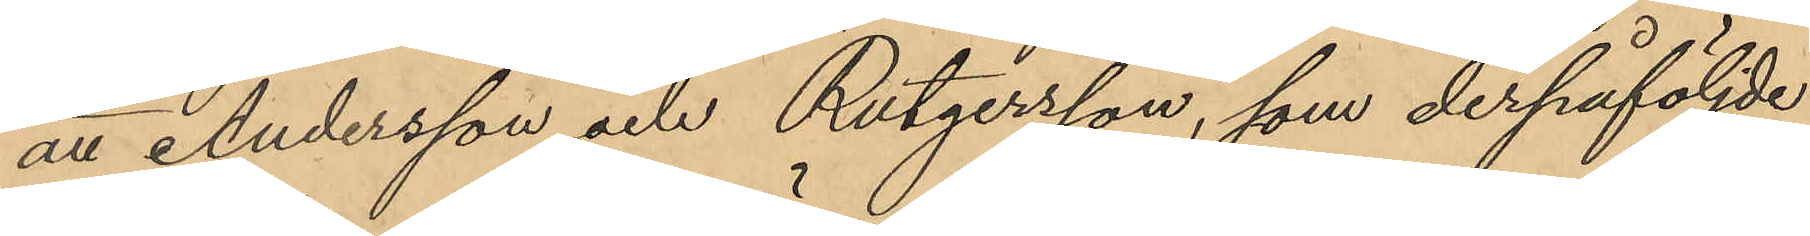att Andersson och Rutgersson, som derpåföljde
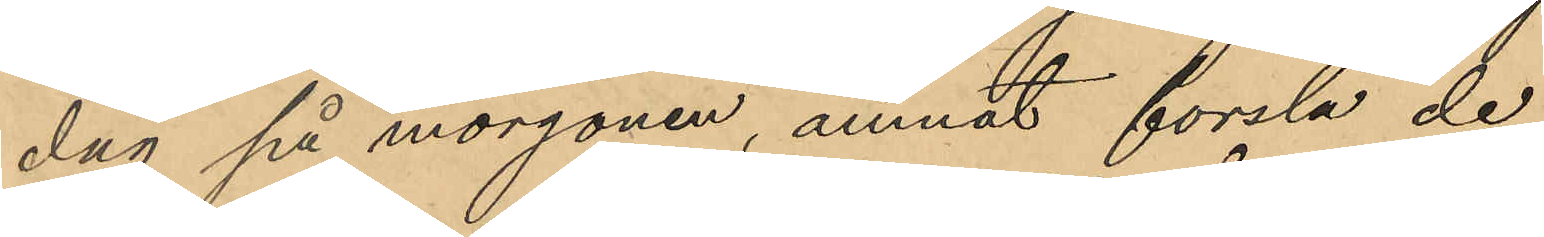dag på morgonen, ämnat forsla de
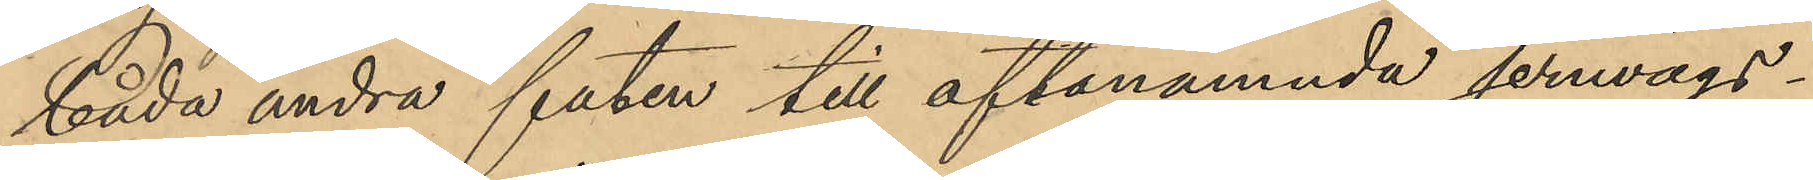båda andra faten till oftanämnda jernvägs¬
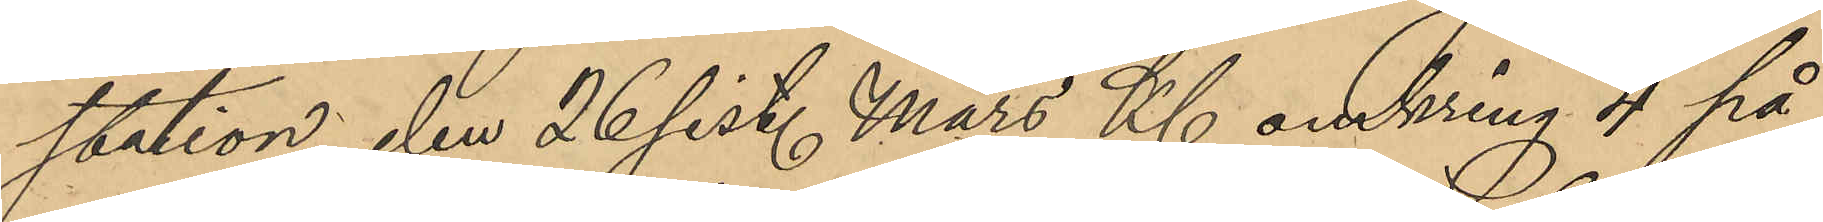station den 26 sist. Mars Kl. omkring 4 på
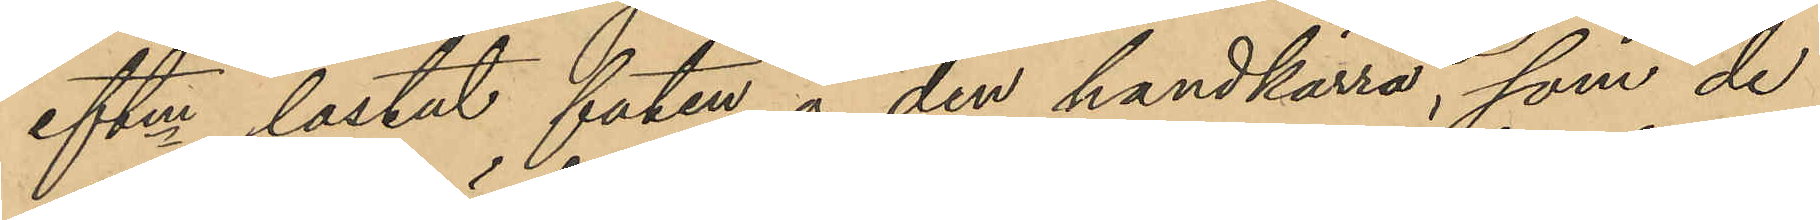eftm lastat faten å den handkärra, som de
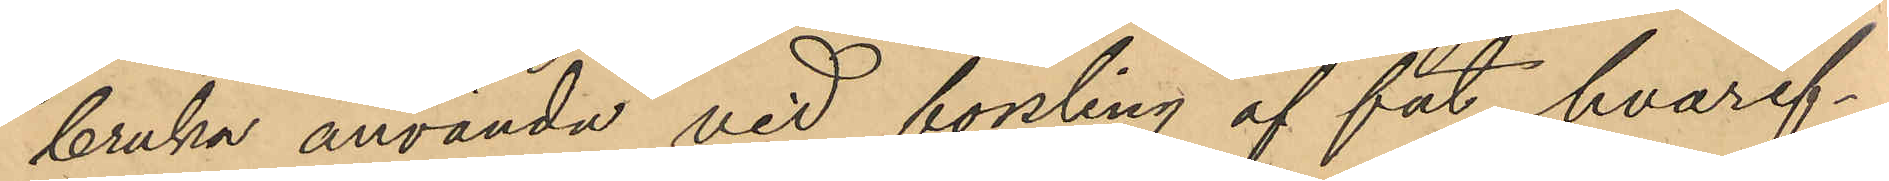bruka använda vid forsling af fat, hvaref¬
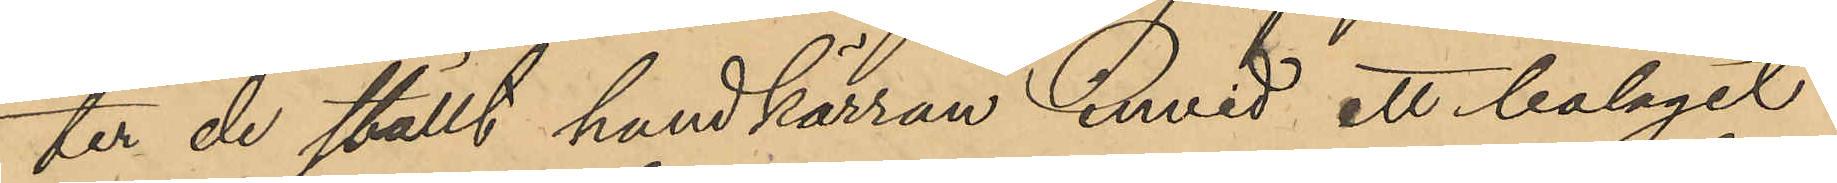ter de ställt handkärran invid ett bolaget
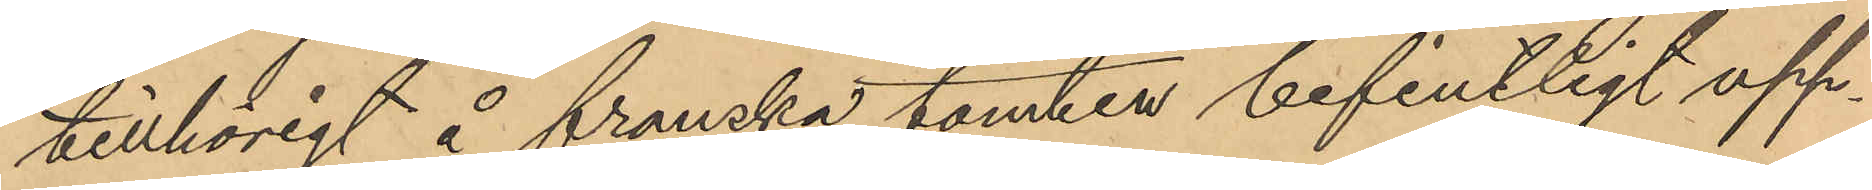tillhörigt å franska tomten befintligt upp¬
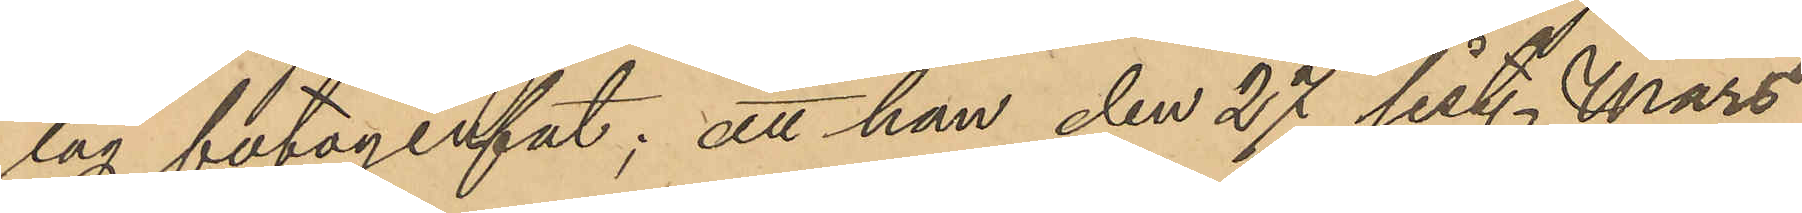lag fotogénfat; att han den 27 sist. Mars
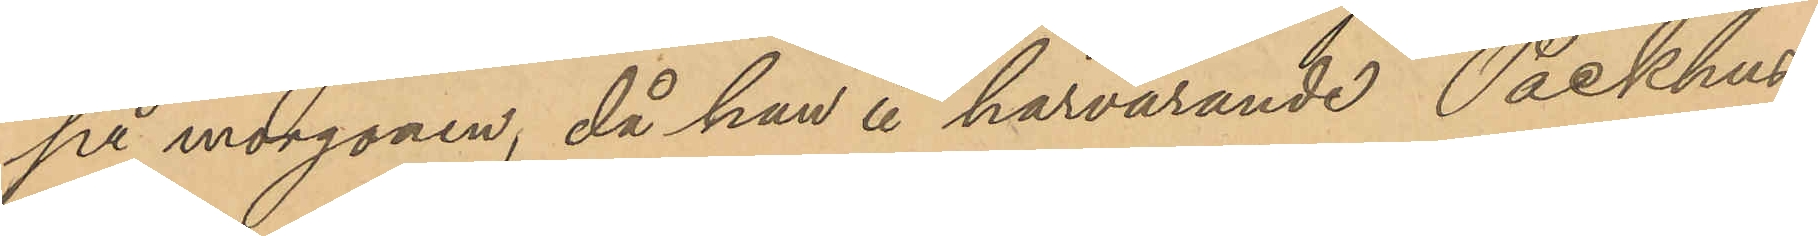på morgonen, då han å härvarande Packhus
